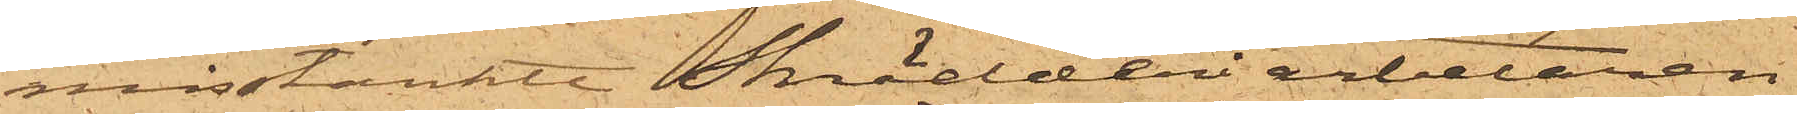misstänkte Skrädderiarbetaren
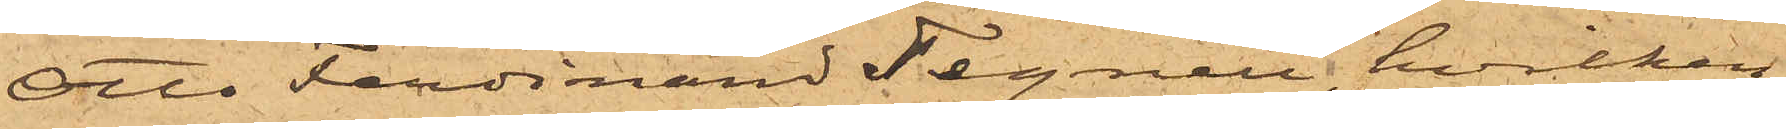Otto Ferdinand Tegnell, hvilken
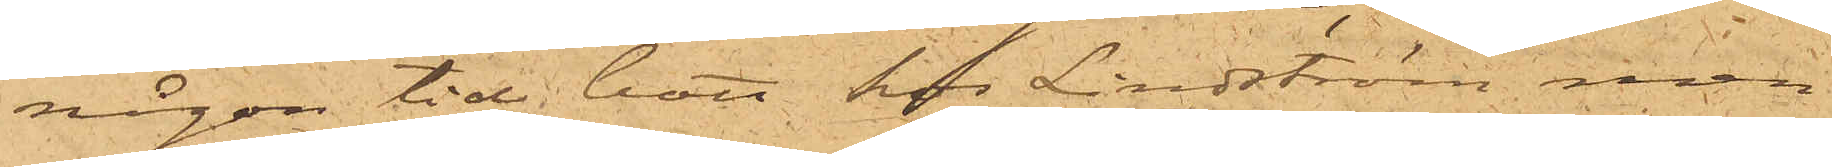någon tid bott hos Lindström men
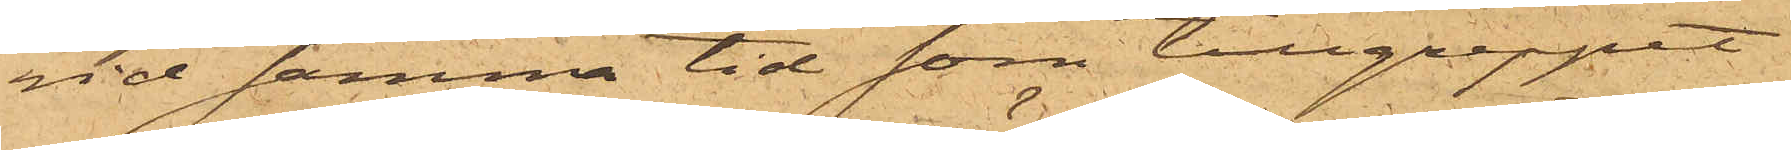vid samma tid som tillgreppet
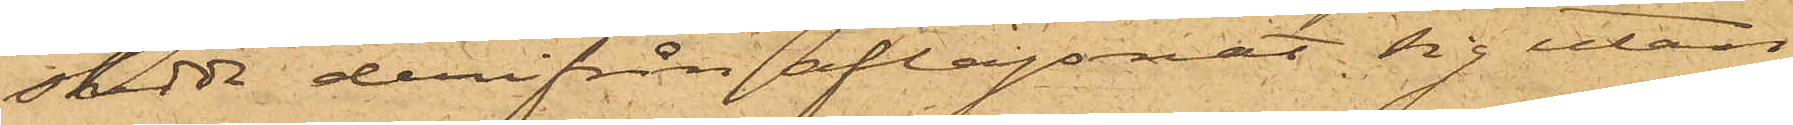skedde derifrån aflägsnat sig utan
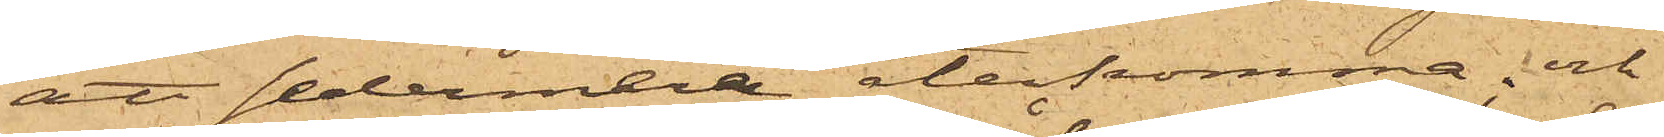att sedermera återkomma; och
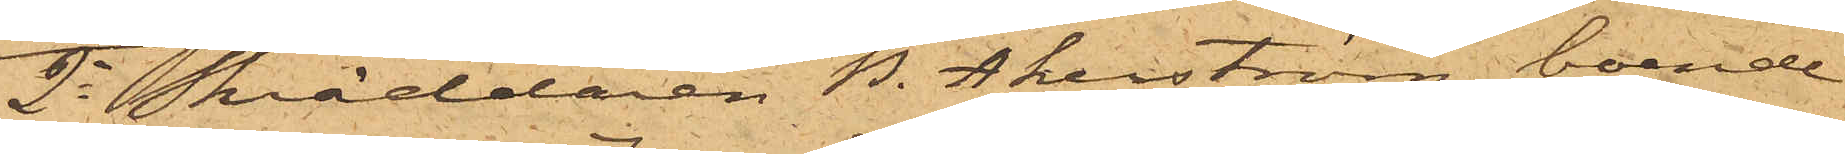2o Skräddaren B. Åkerström, boende
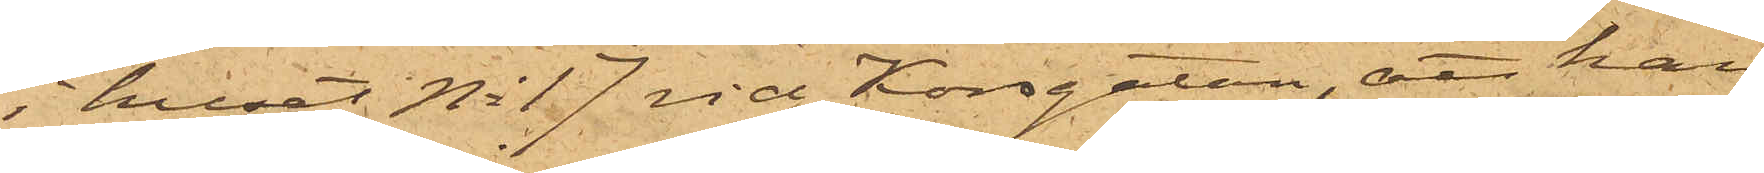i huset No 17 vid Korsgatan, att han
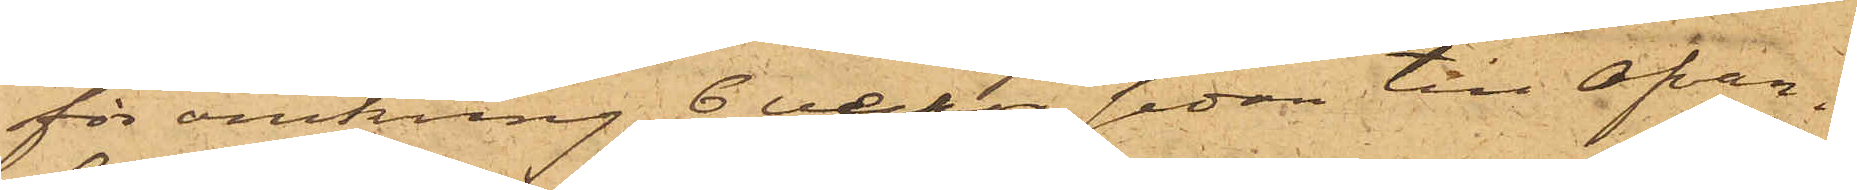för omkring 6 veckor sedan till ofvan¬
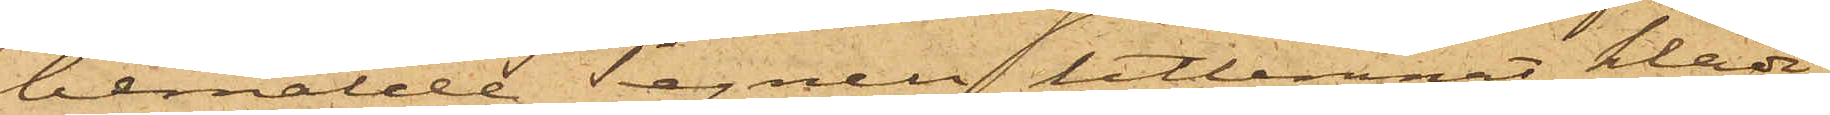bemälde Tegnell utlemnat kläde,
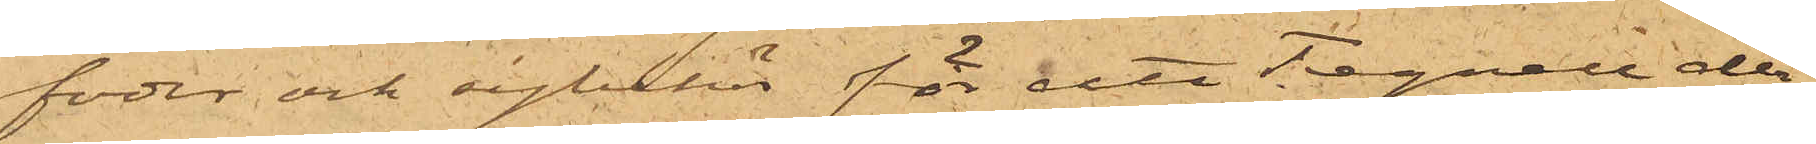foder och sybehör för att Tegnell der¬
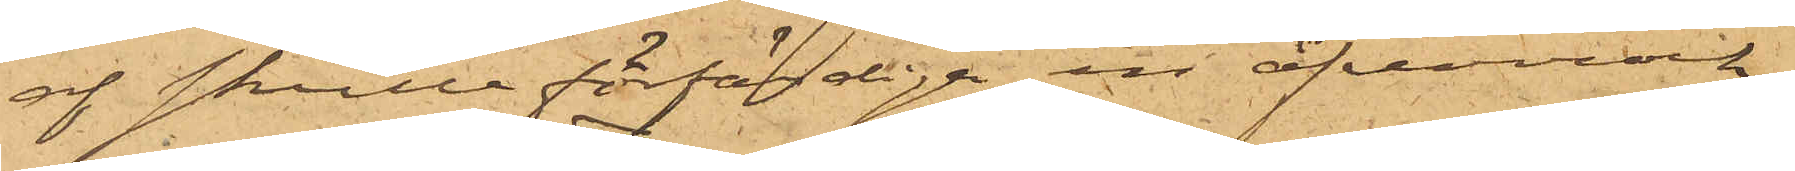af skulle förfärdiga en öfverrock,
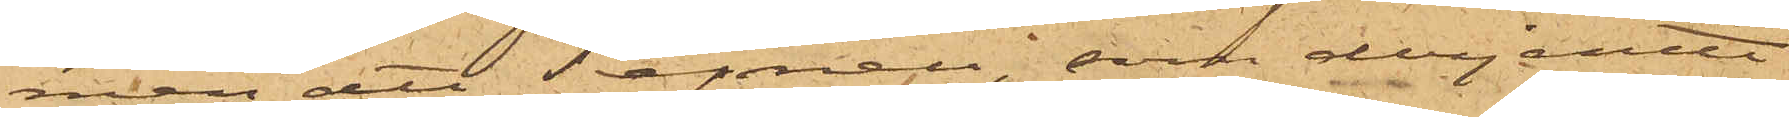men att Tegnell, som derjemte
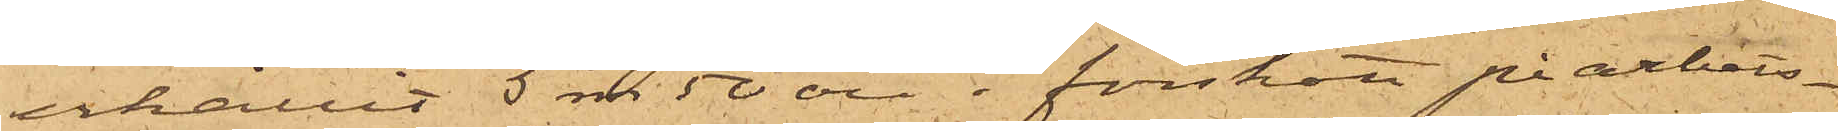erhållit 5 rdr 50 öre i förskott på arbets¬
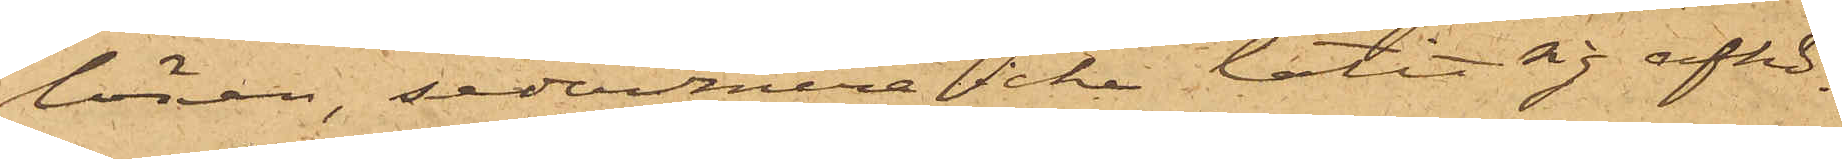lönen, sedermera icke låtit sig afhö¬
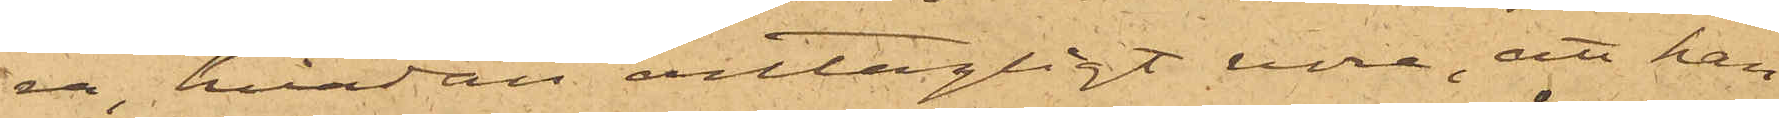ra, hvadan antagligt vore, att han
